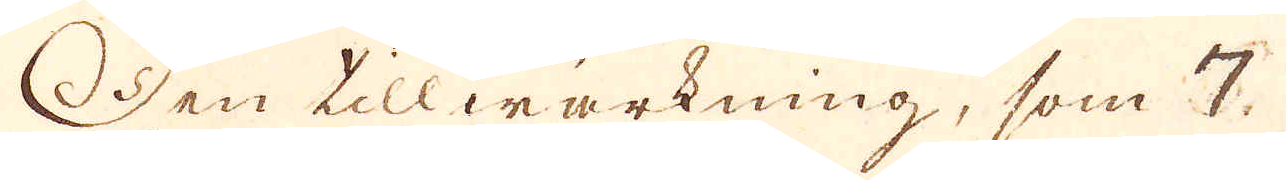Den tillwärkning, som 7
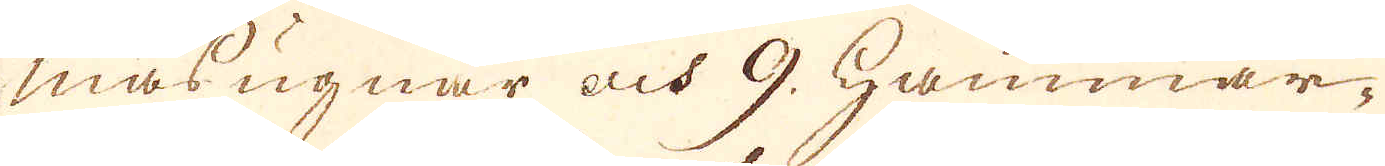masugnar och 9. hammar-
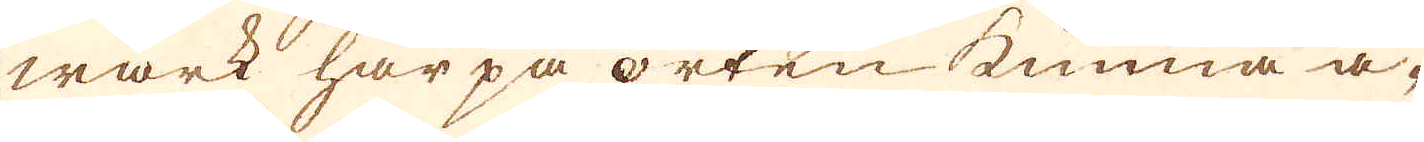wärk här på orten kunna å-
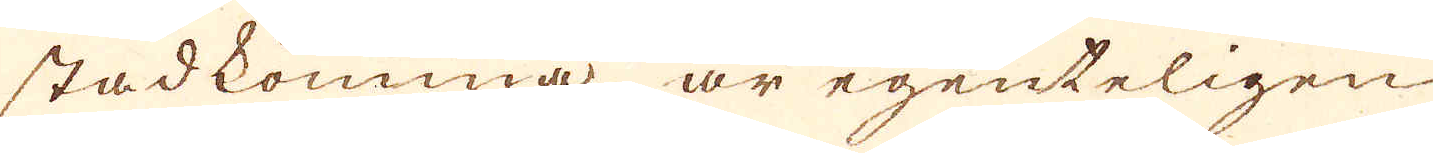stadkomma är egenteligen
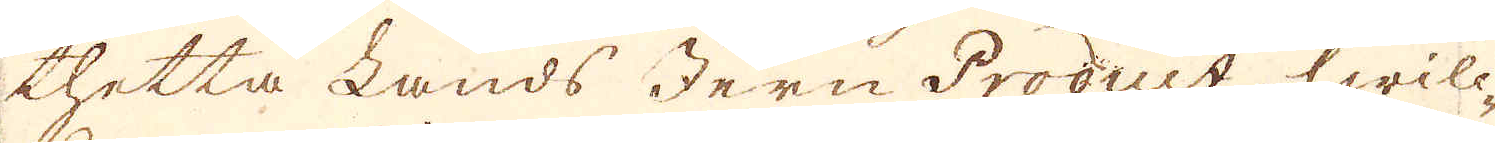thetta Lands Jern Product, hwill-
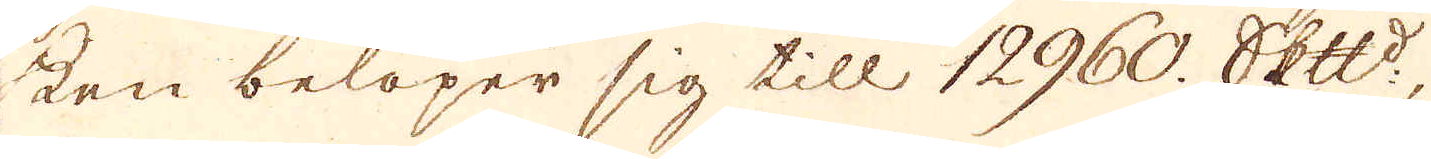ken belöper sig till 12960. skeppund,
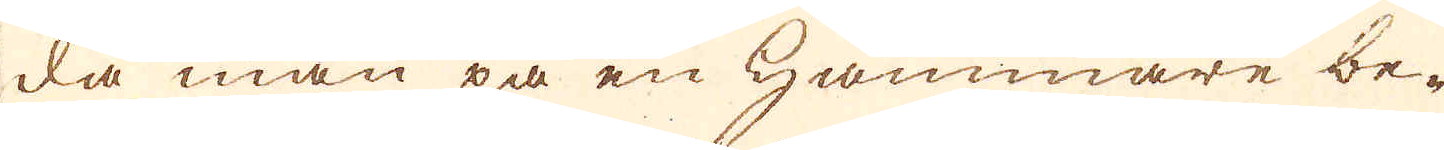då man på en Hammare be-
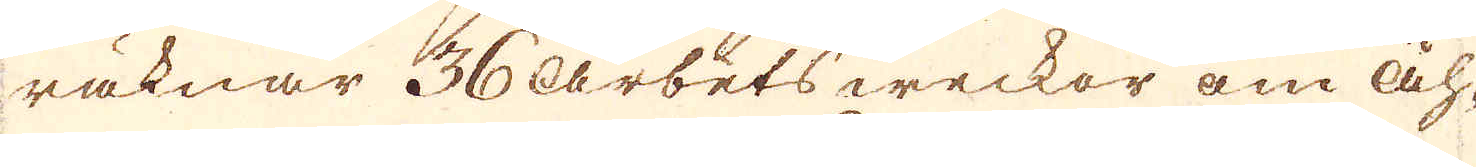räknar 36 arbets weckor om åh-
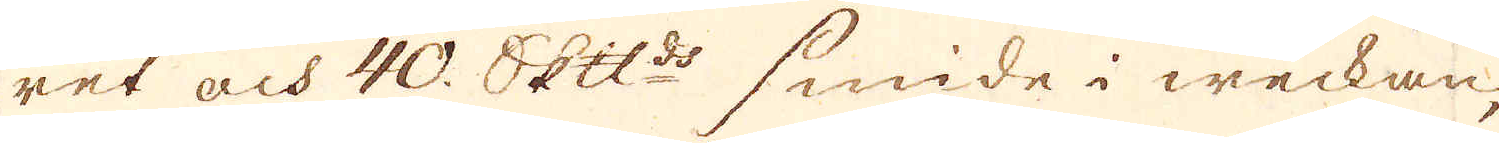ret och 40. skeppund smide i weckan,
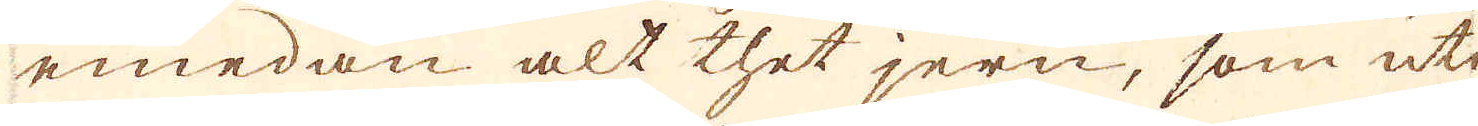emedan alt thet jern, som uti
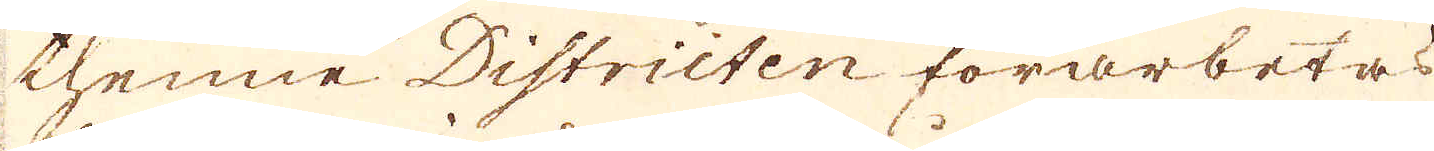thenne Districten förarbetas
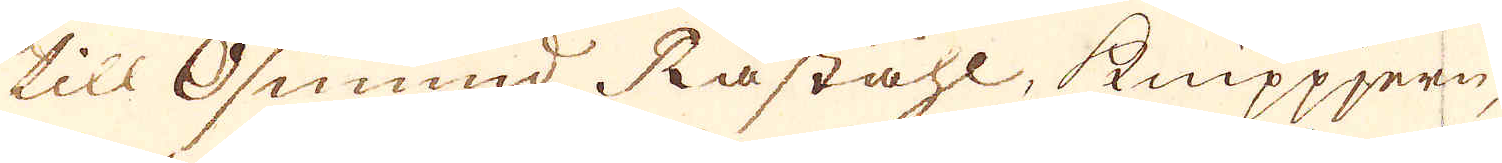till Osmund Råståhl, knippjern,
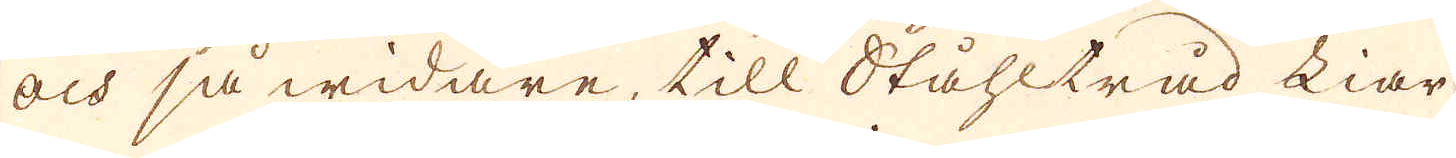och så widare, till Ståhltråd Liar
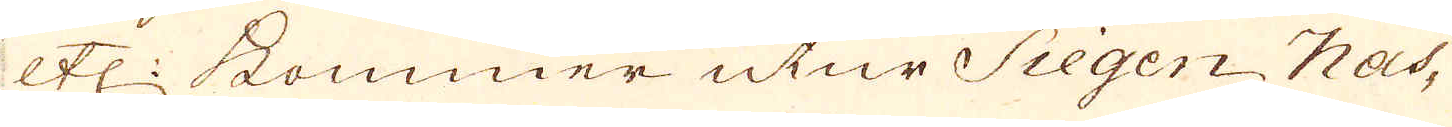etc: kommer utur Siegen Nas-
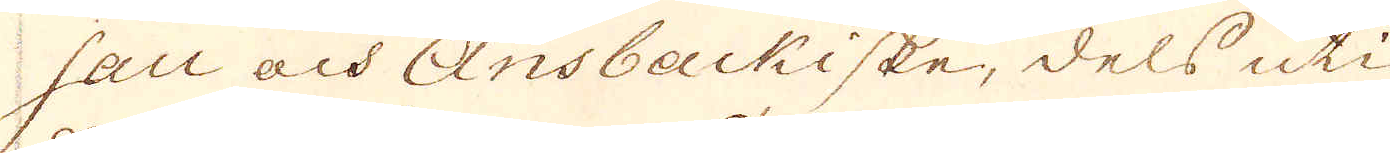sau och Ansbackiske, dels uti
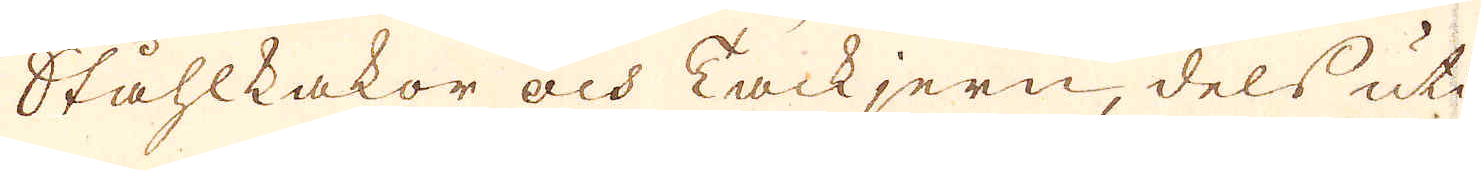Ståhlkakor och Tackjern, dels uti
